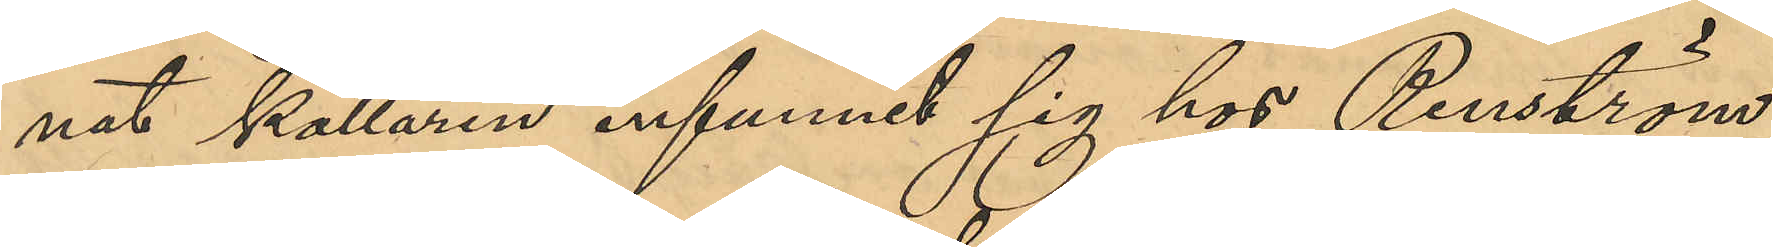nat källaren infunnit sig hos Renström,
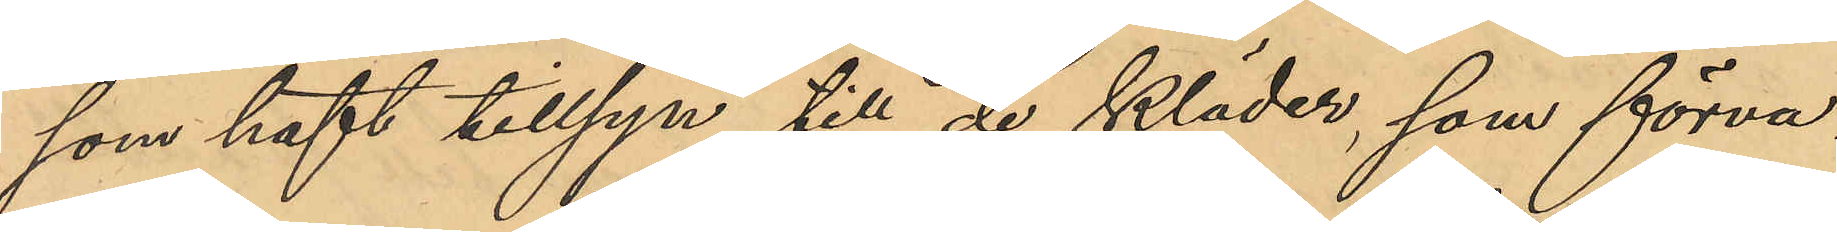som haft tillsyn till de kläder, som förva¬
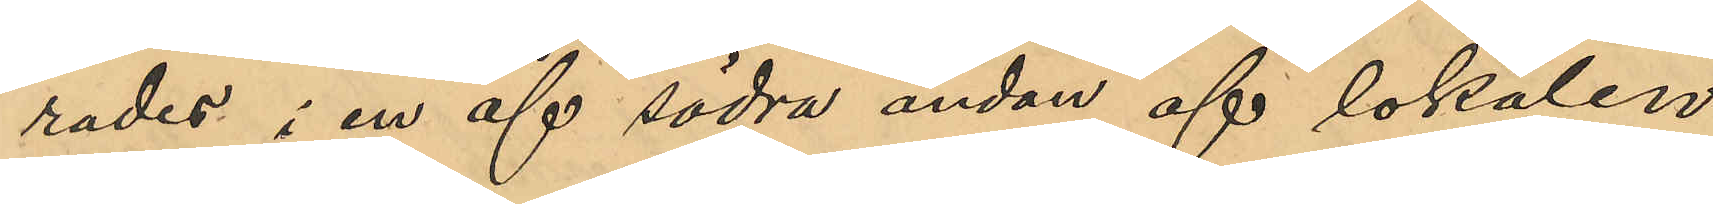rades i en af södra ändan af lokalen
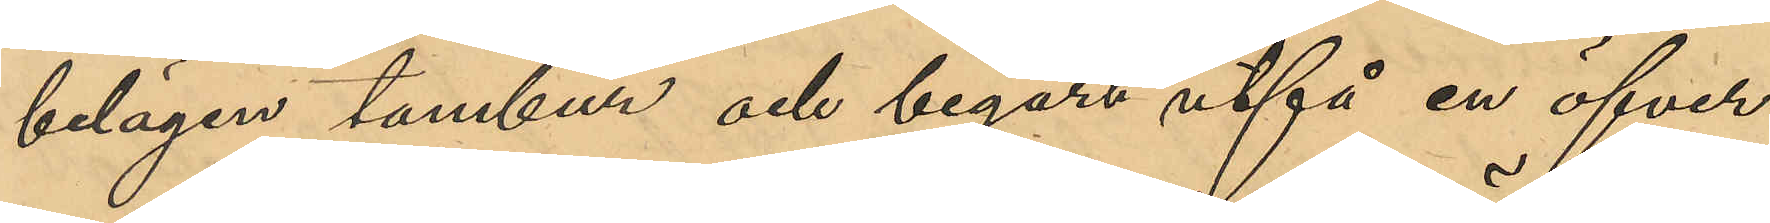belägen tambur och begärt utfå en öfver¬
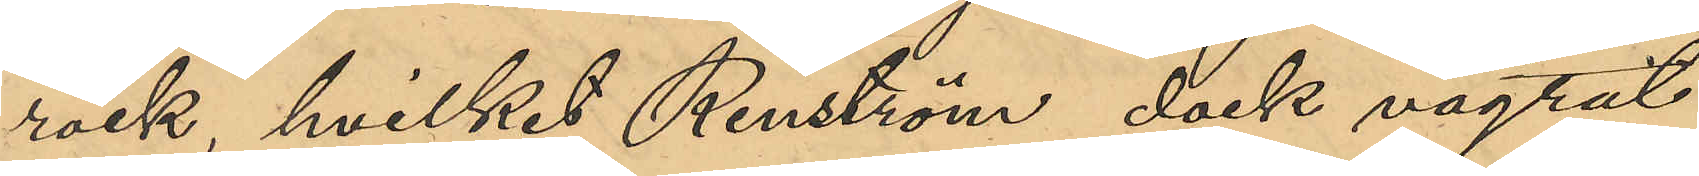rock hvilket Renström dock vägrat
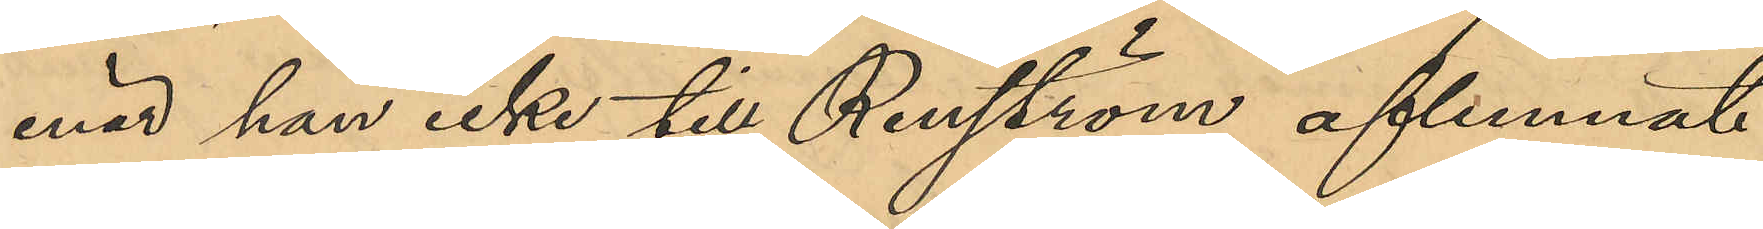enär han icke till Renström aflemnat
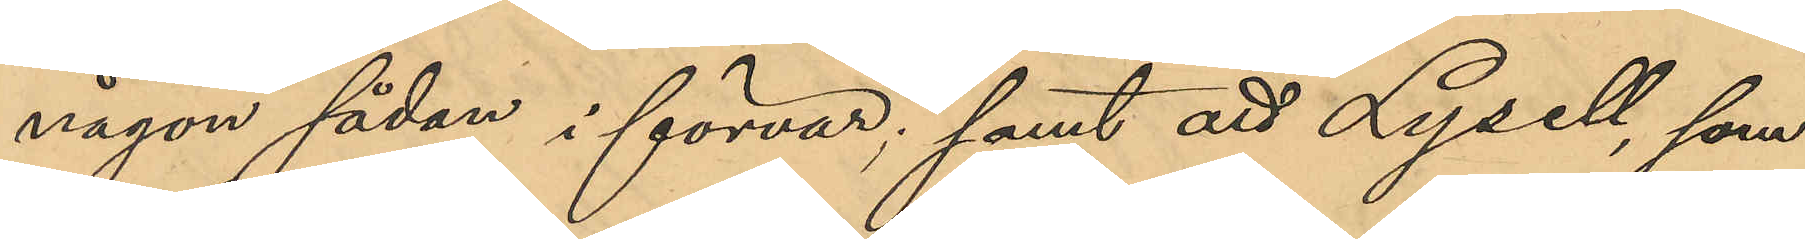någon sådan i förvar; samt att Lysell, som
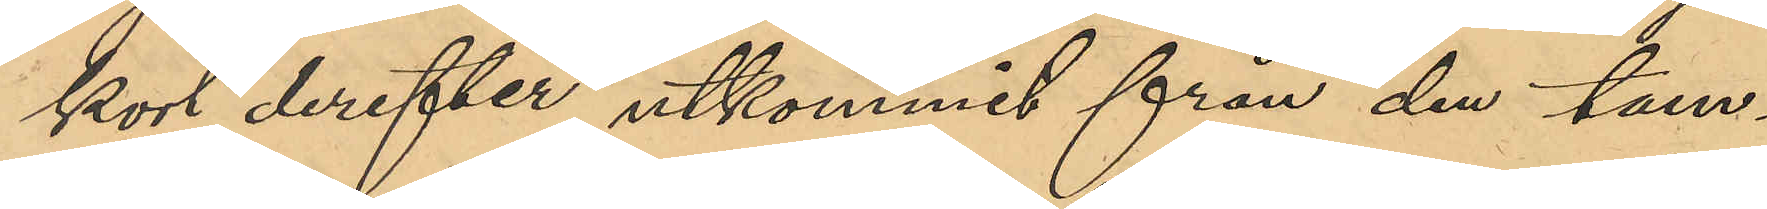kort derefter utkommit från den tam¬
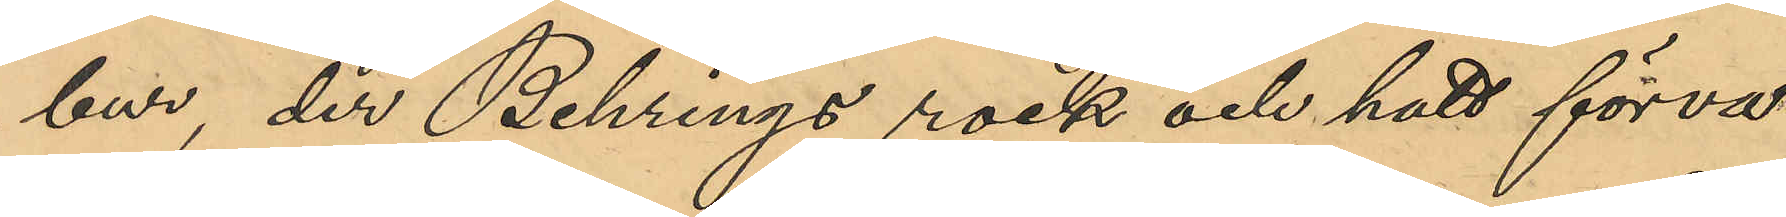bur, der Behrings rock och hatt förva¬
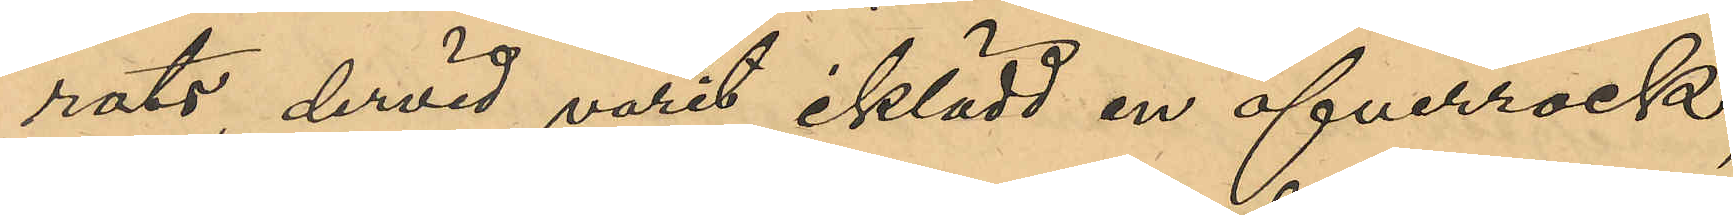rats, dervid varit iklädd en öfverrock;
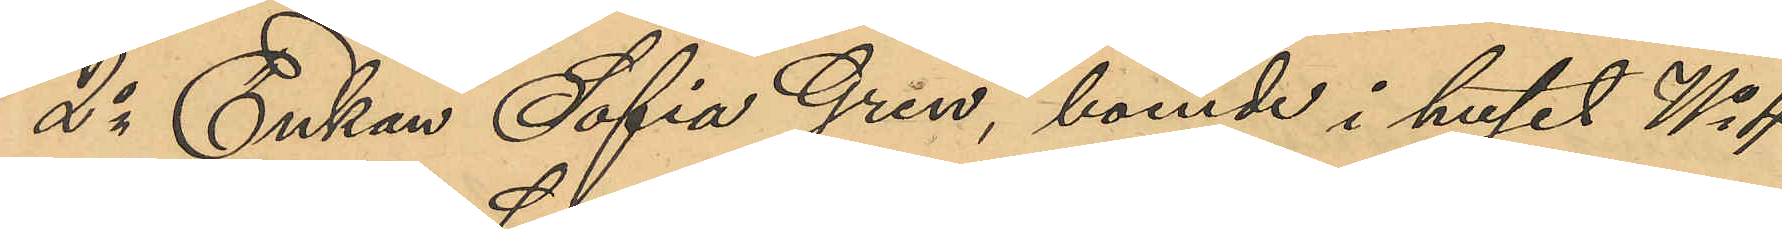2o Enkan Sofia Gren, boende i huset No 4
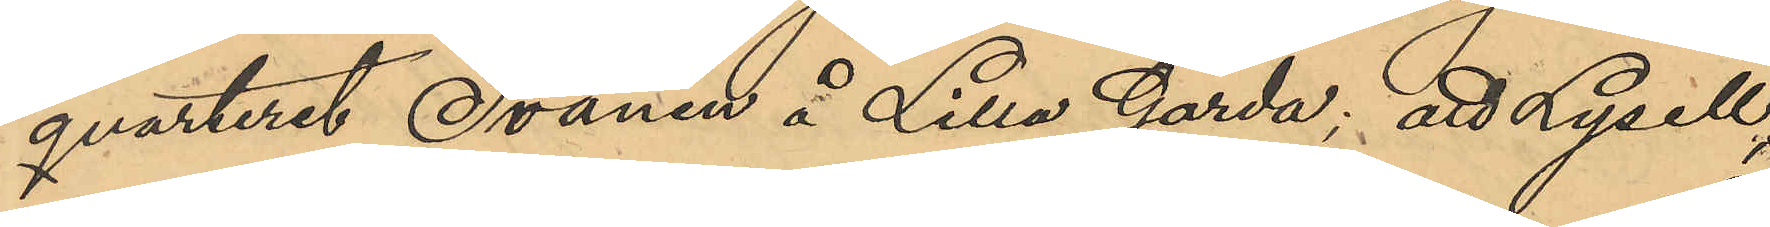qvarteret Svanen å Lilla Gårda; att Lysell
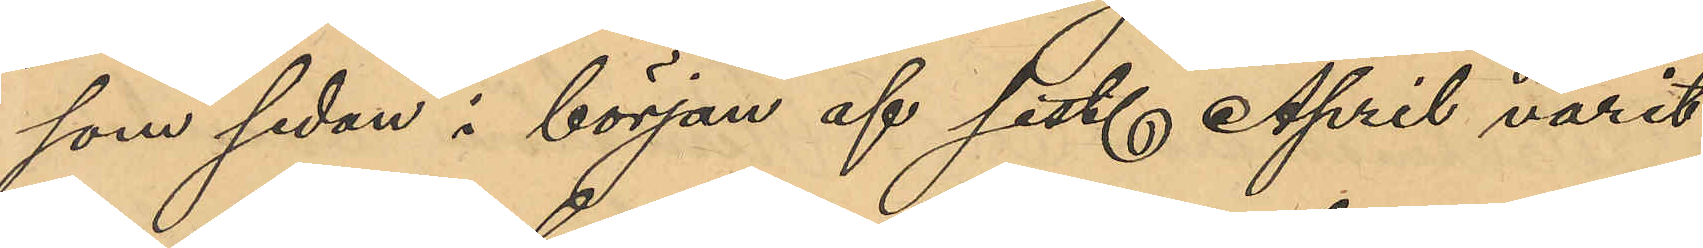som sedan i början af sist. April varit
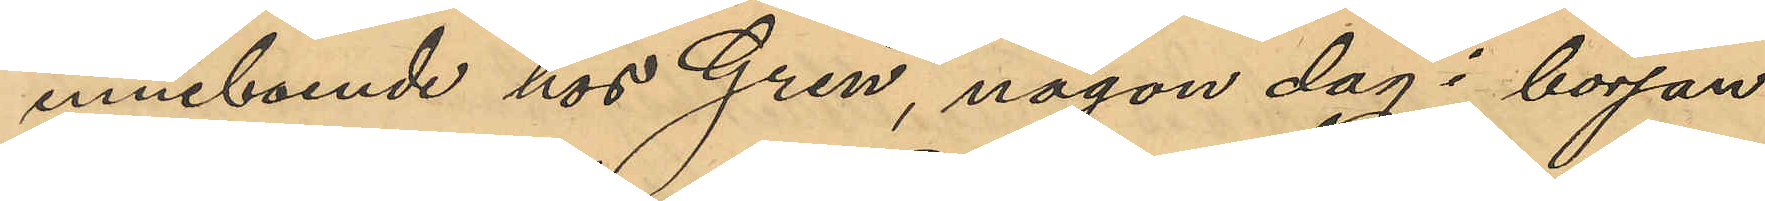inneboende hos Gren, någon dag i början
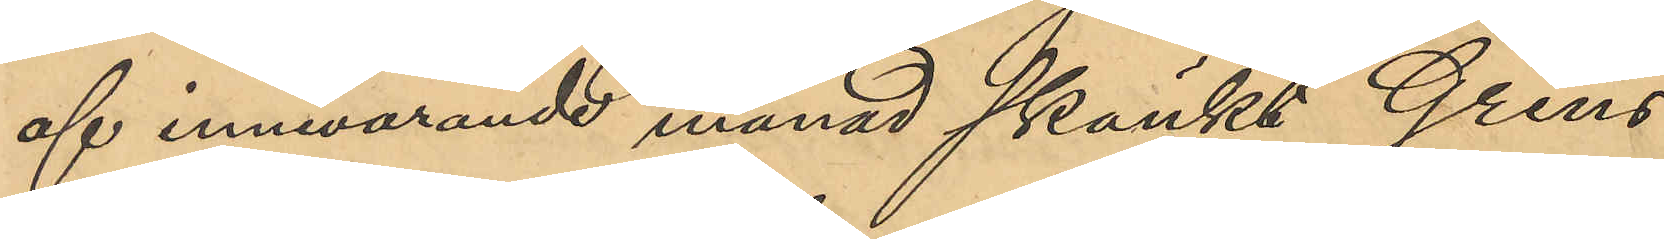af innevarande månad skänkt Grens
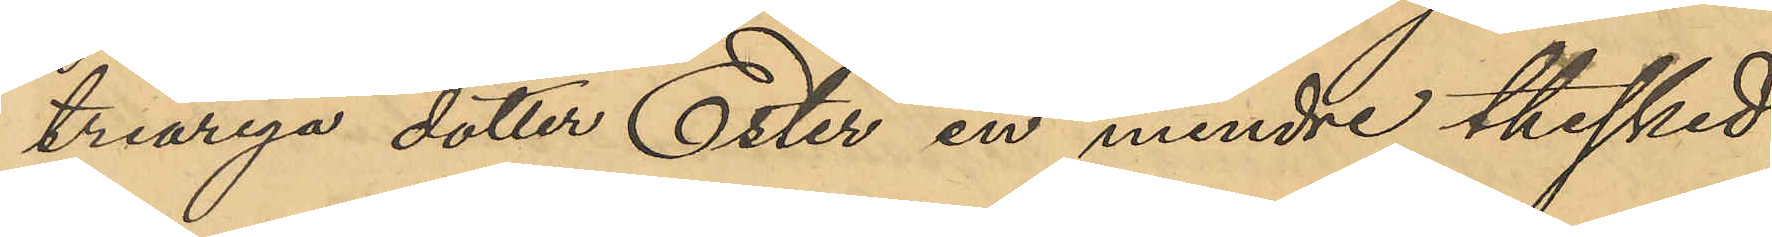treåriga dotter Ester en mindre thesked
